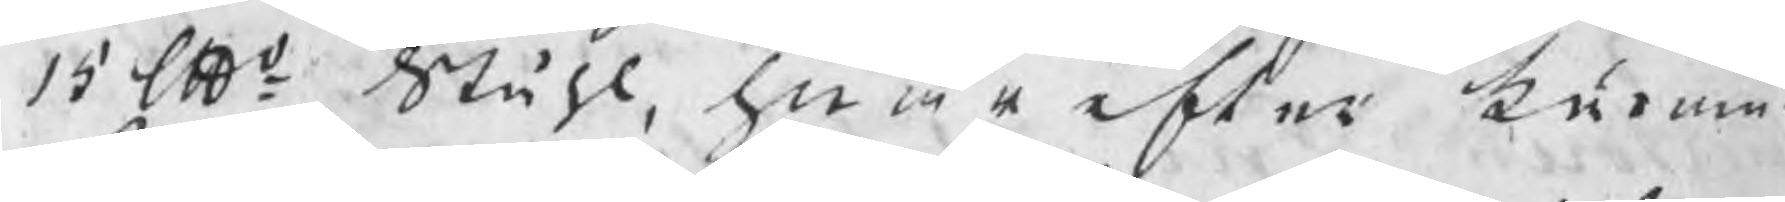15 lpd Ståhl, hwarefter kunna
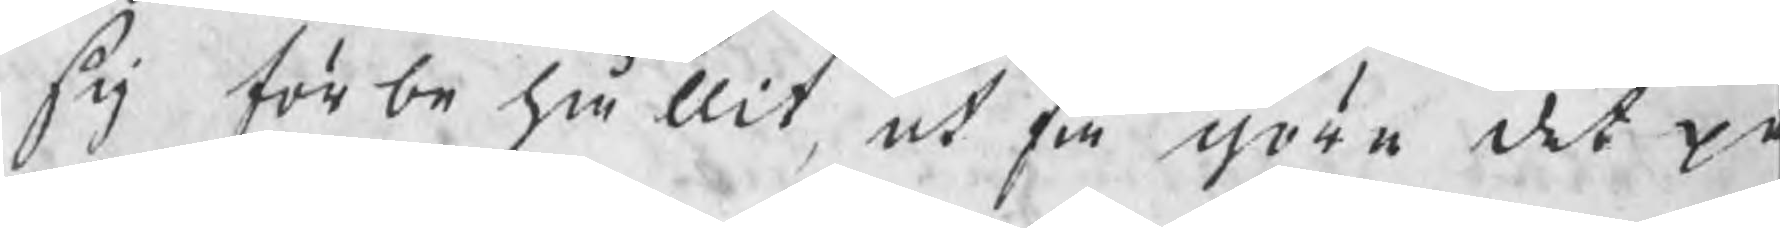sig förbehållit, at få göra det p
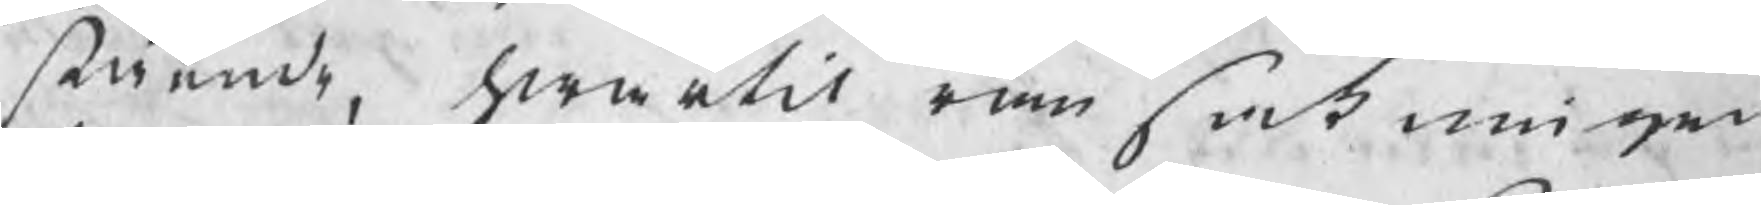stående, hwartil ransakningar
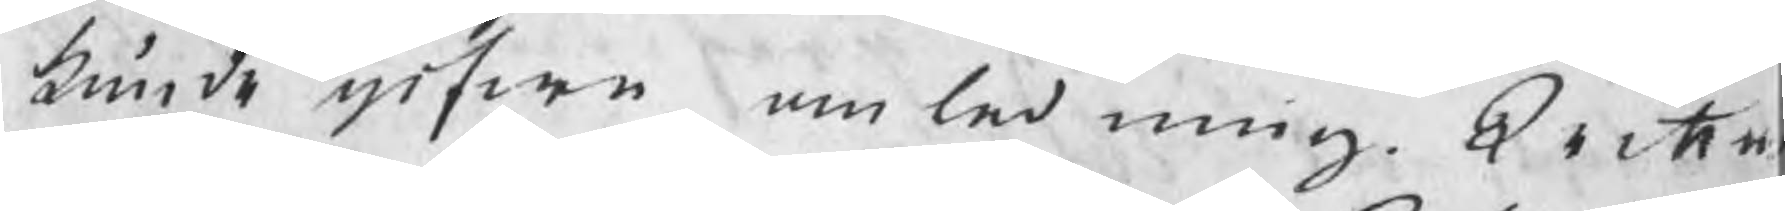kunde gifwa anledning. Wittn
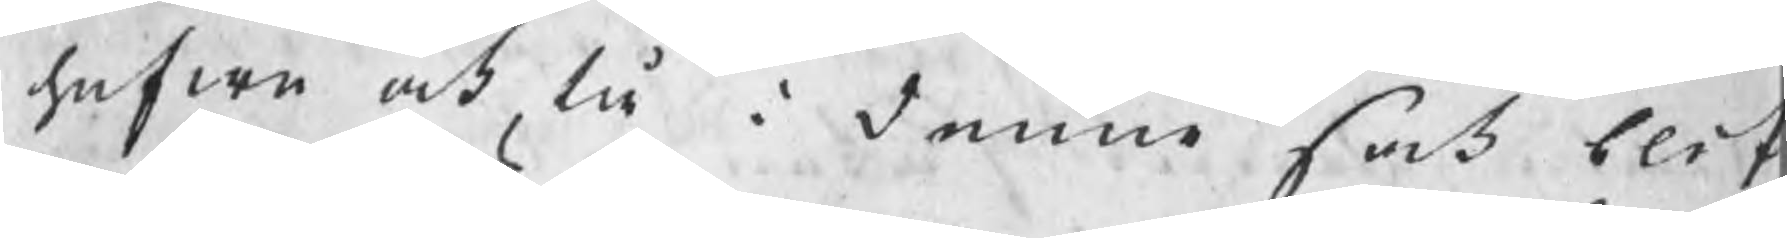hafwa ock tå i denne sak blif
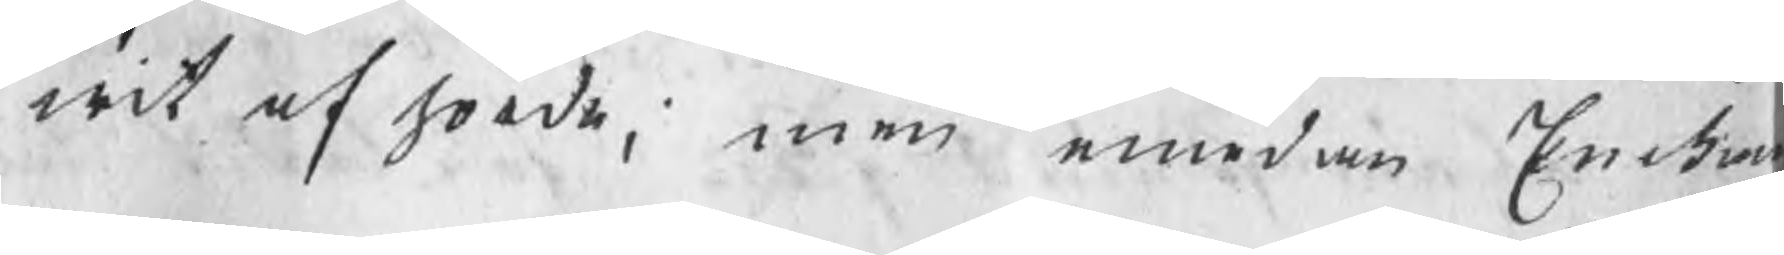wit afhörde, men emedan Enckan
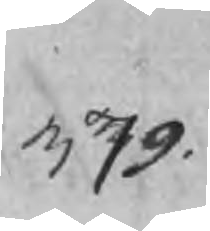379.
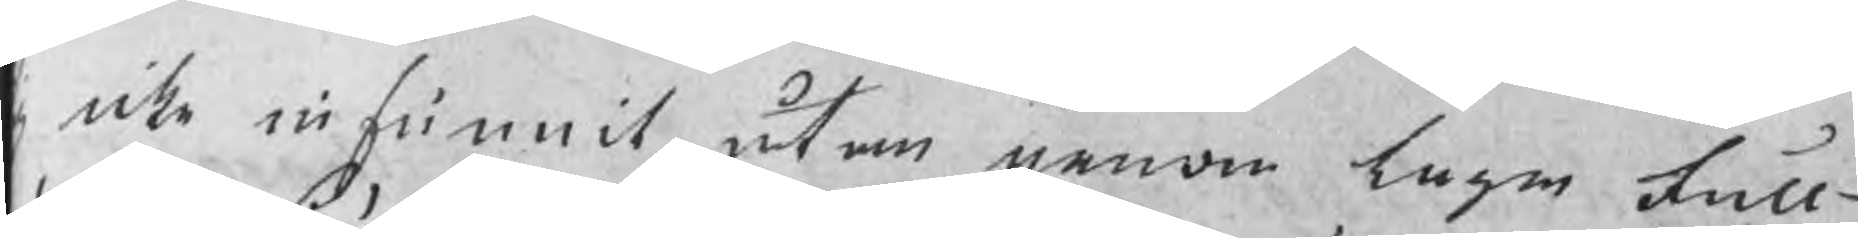g icke infunnit, utan genom laga full¬
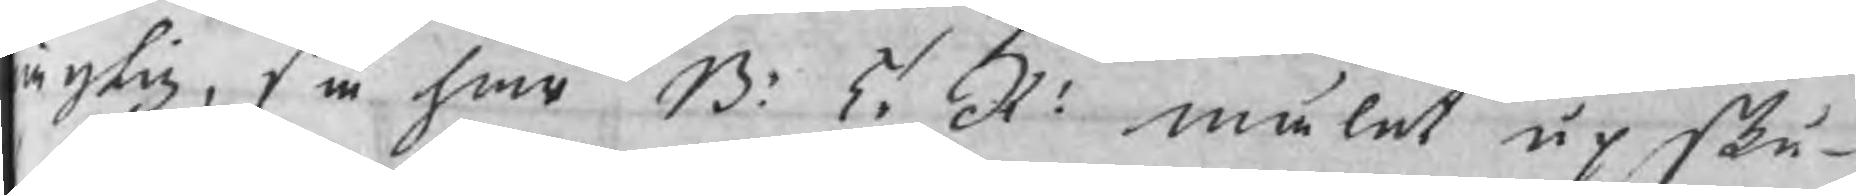ägtig, så har B: T: R: målet upsku¬
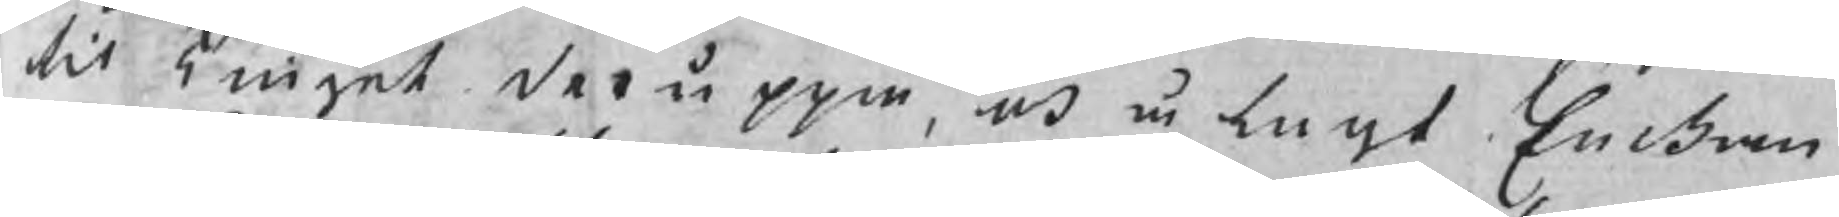til Tinget deruppå, och ålagt Enckan
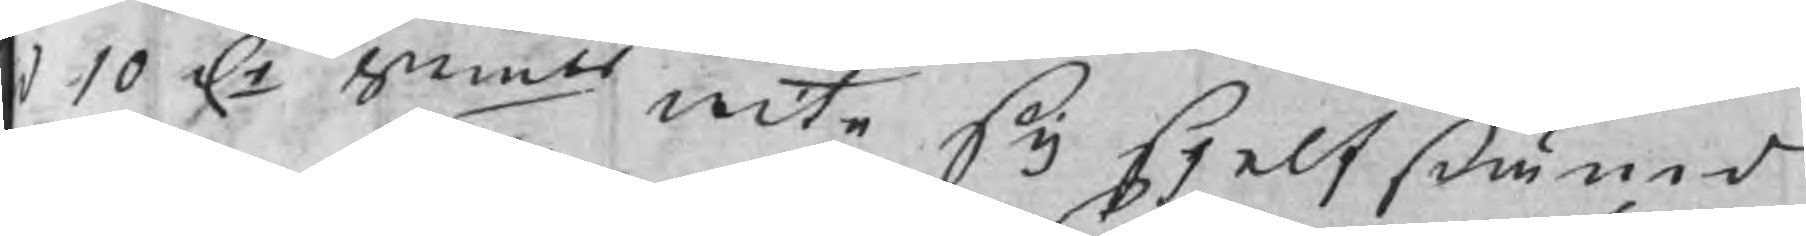d 10 Dr Smts wite sig sjelfstämd
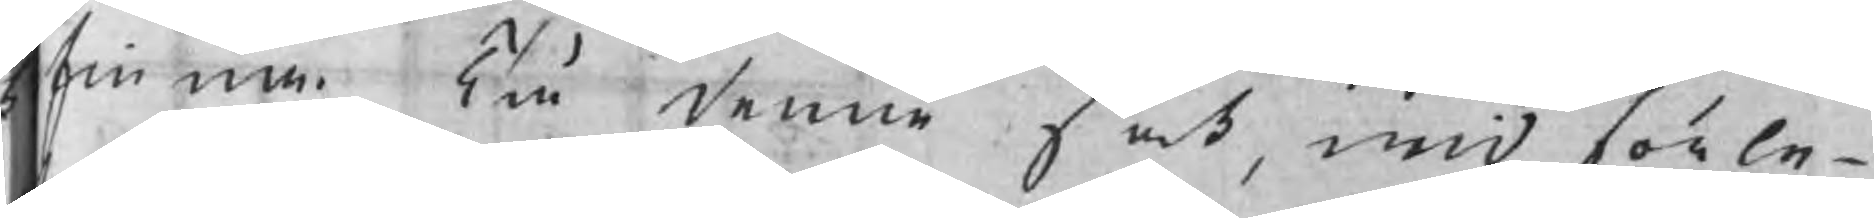finna. Tå denne sak, wid förle¬
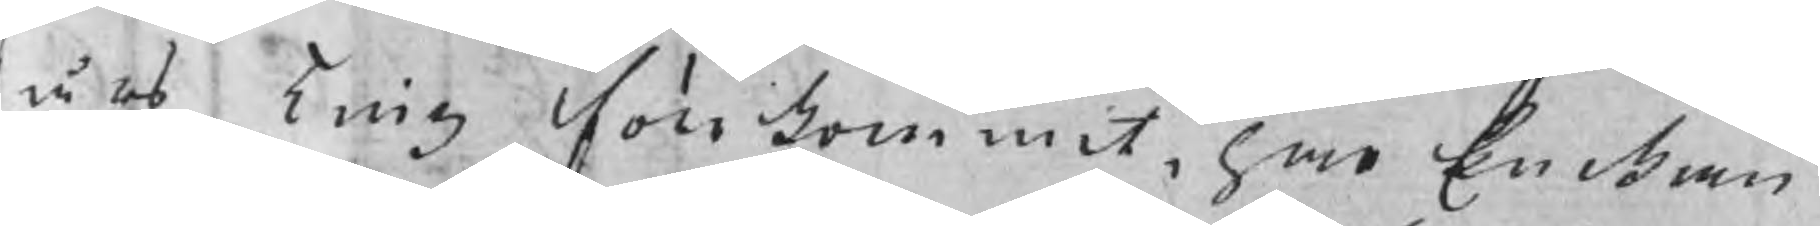t års Ting förkommit, har Enckan
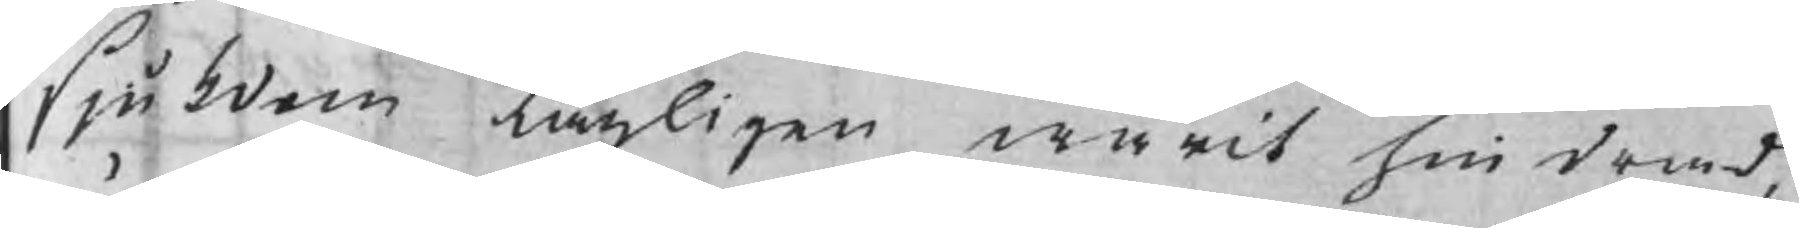sjukdom lagligen warit hindrad,
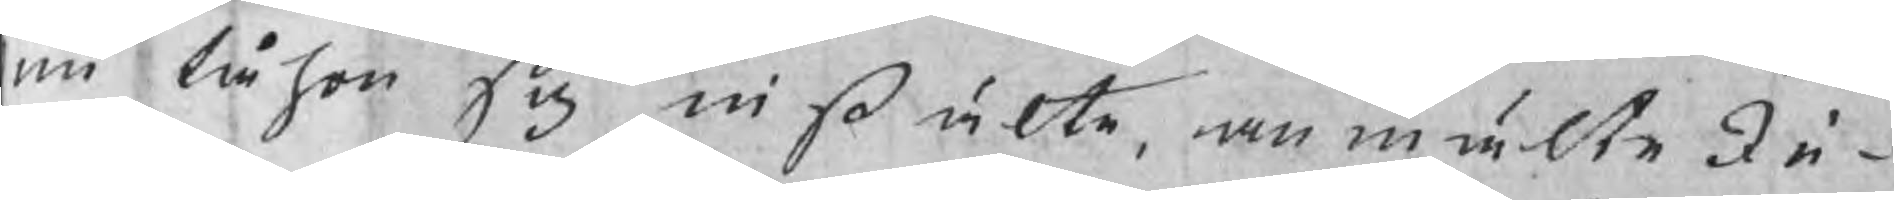nu tå hon sig instälte, anmälte In¬
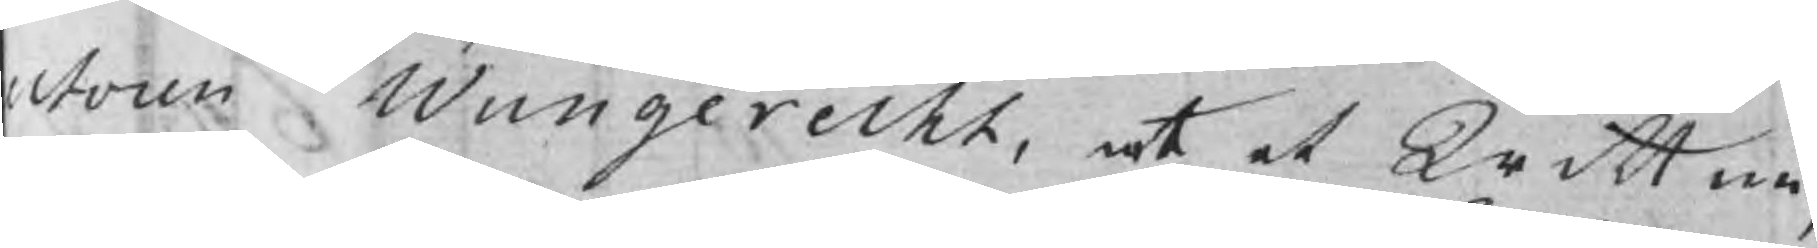ctoren Wungerecht, at et Wittne,
